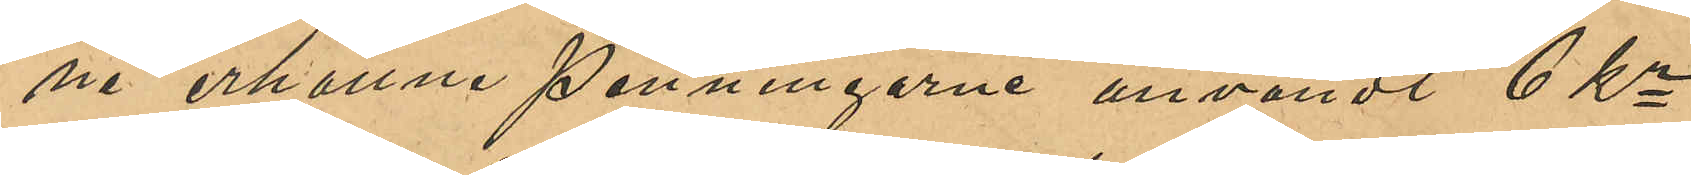ne erhållne penningarne användt 6 Kr
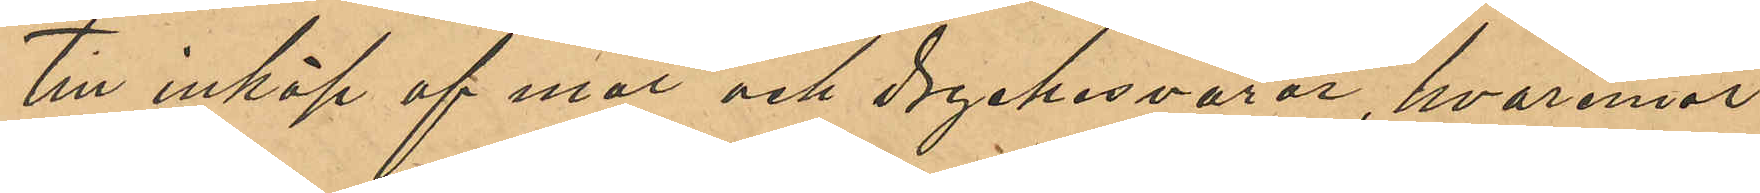till inköp af mat och dryckesvaror, hvaremot
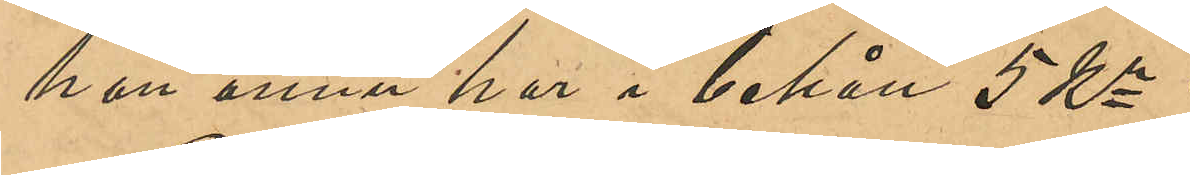han ännu har i behåll 5 Kr.
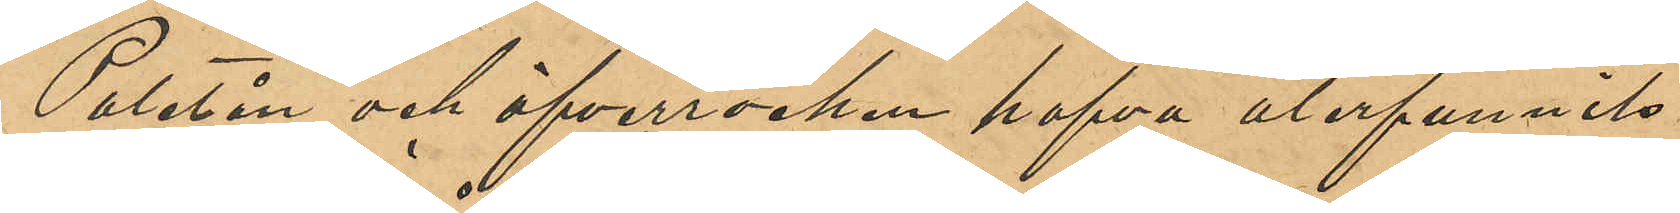Paletån och öfverrocken hafva återfunnits
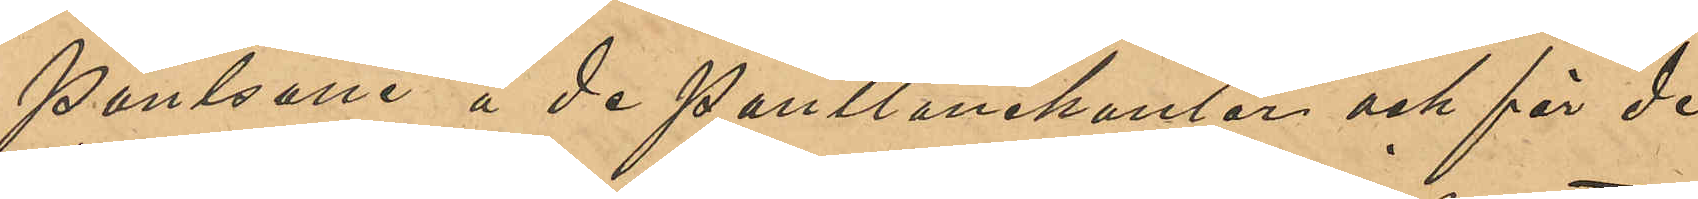pantsatte å de Pantlånekontor och för de
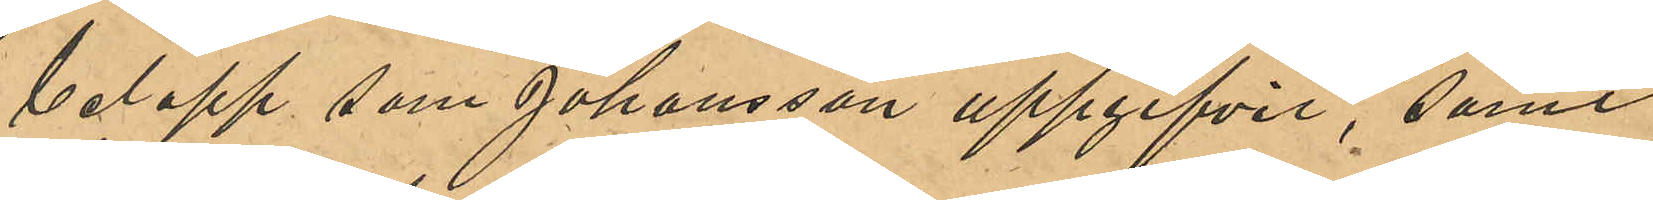belopp som Johansson uppgifvit, samt
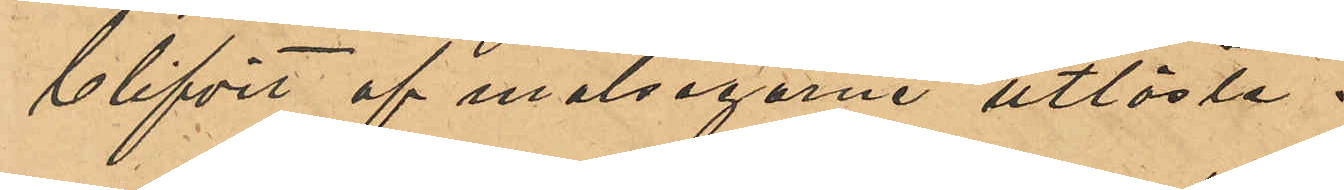blifvit af målsegarne utlösta.
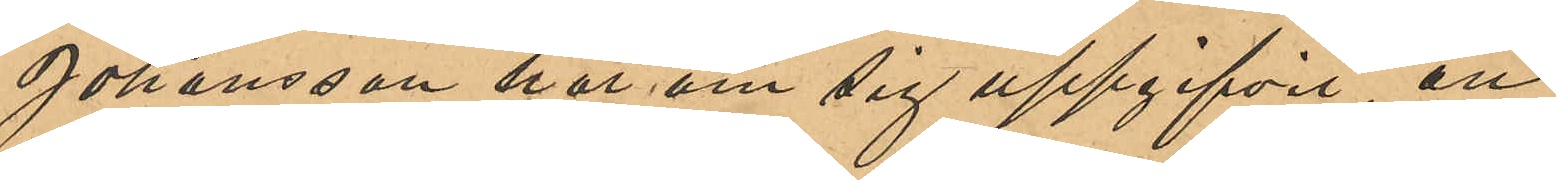Johansson har om sig uppgifvit, att
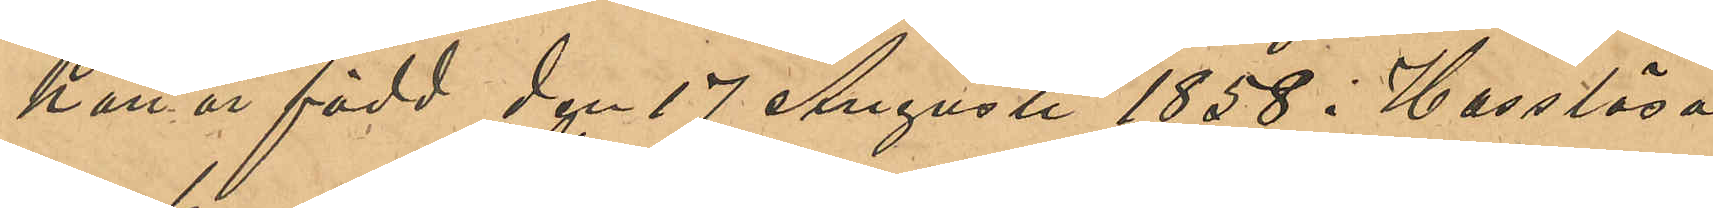han är född den 17 Augusti 1858 i Hasslösa
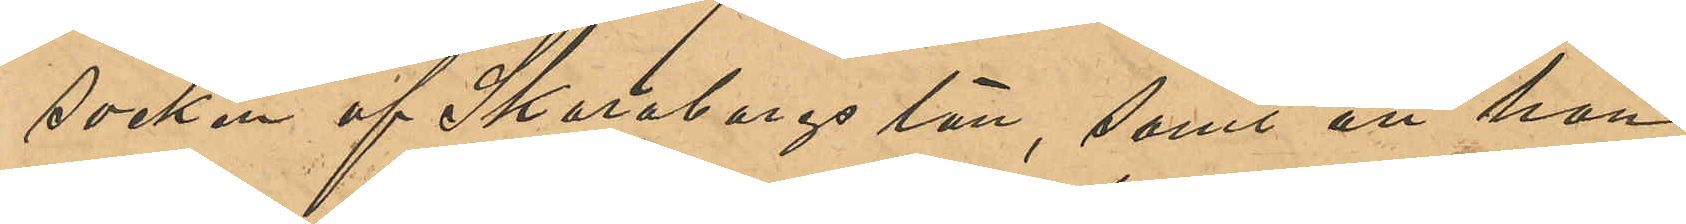socken af Skaraborgs län, samt att han
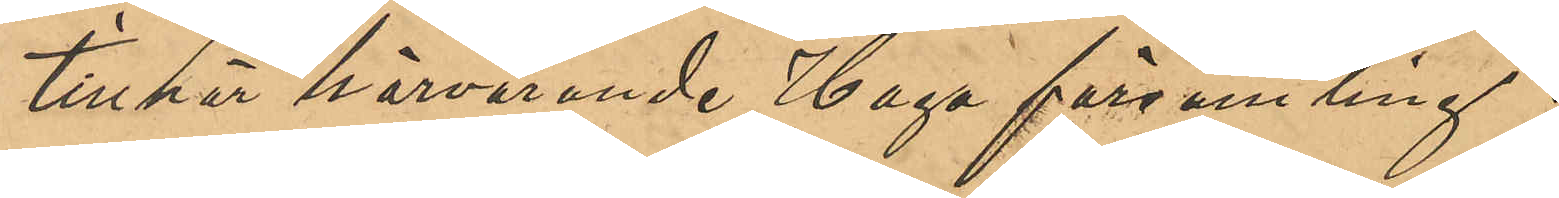tillhör härvarande Haga församling.
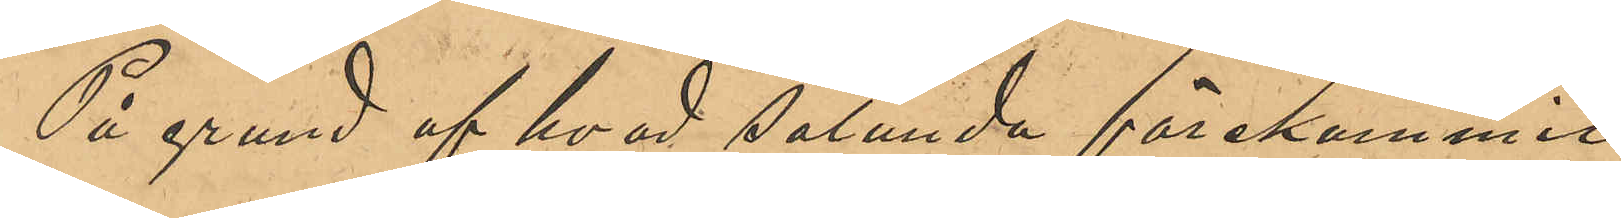På grund af hvad sålunda förekommit
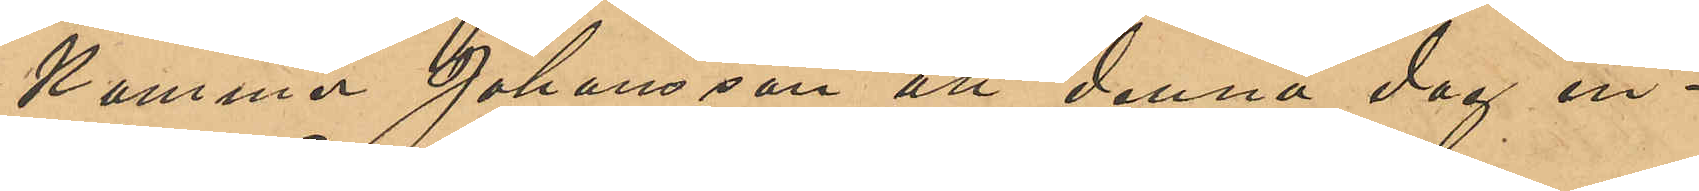kommer Johansson att denna dag in¬
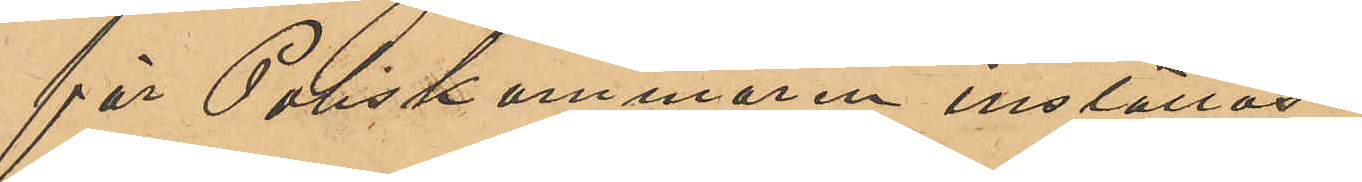för Poliskammaren inställas.
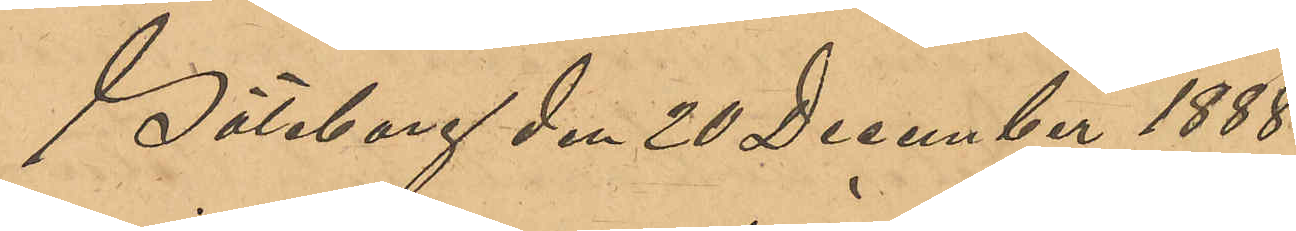Göteborg den 20 December 1888.
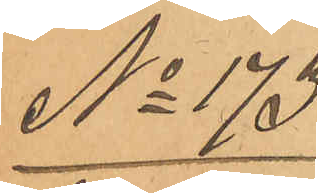No 173
